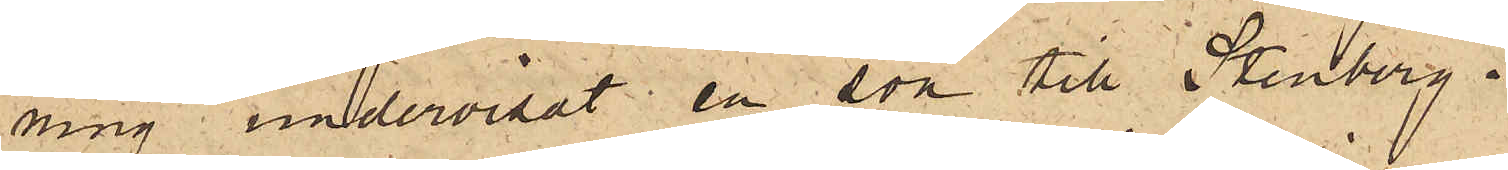ning, undervisat en son till Stenberg,
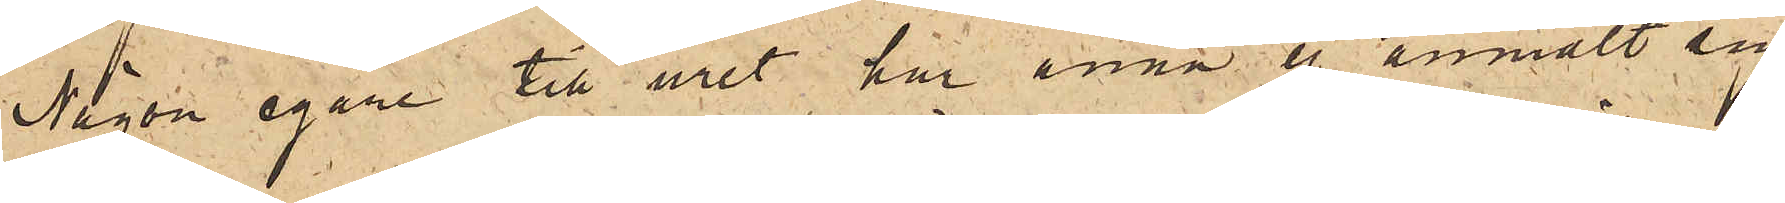Någon egare till uret har ännu ej anmält sig.
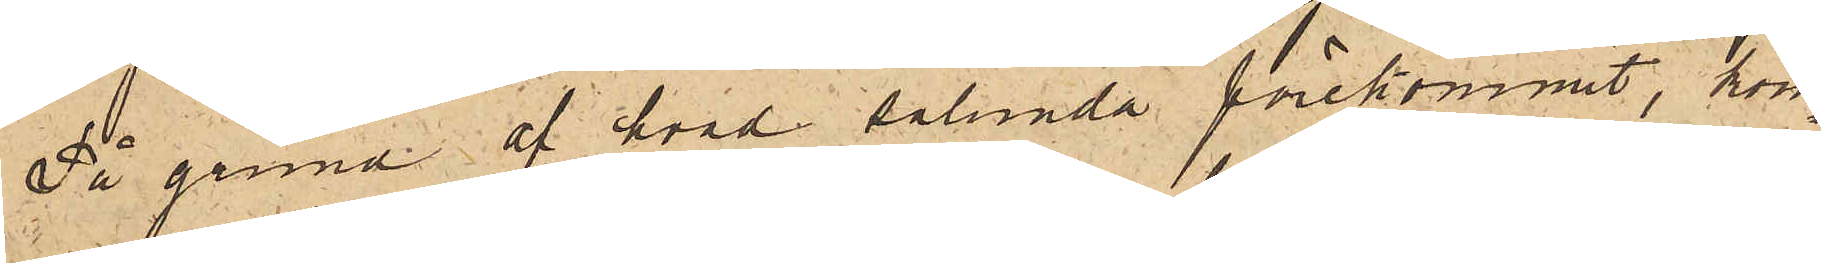På grund af hvad sålunda förekommit, kom¬
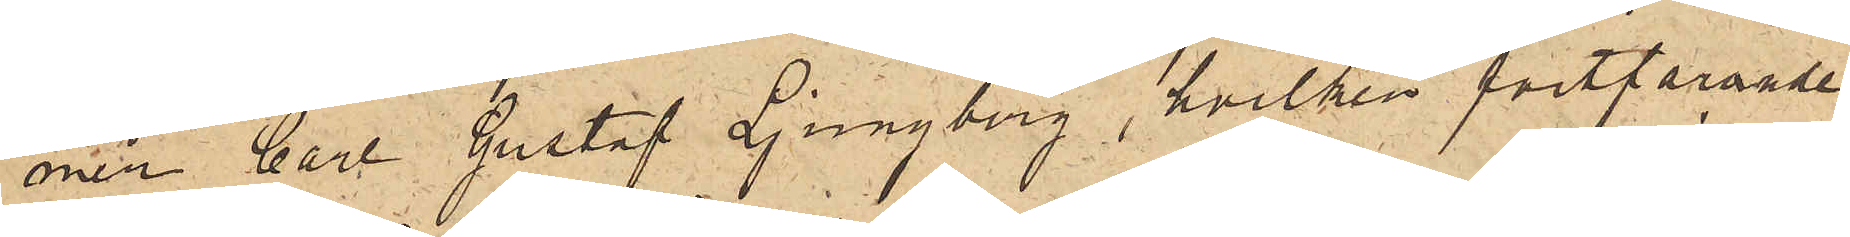mer Carl Gustaf Ljungberg, hvilken fortfarande
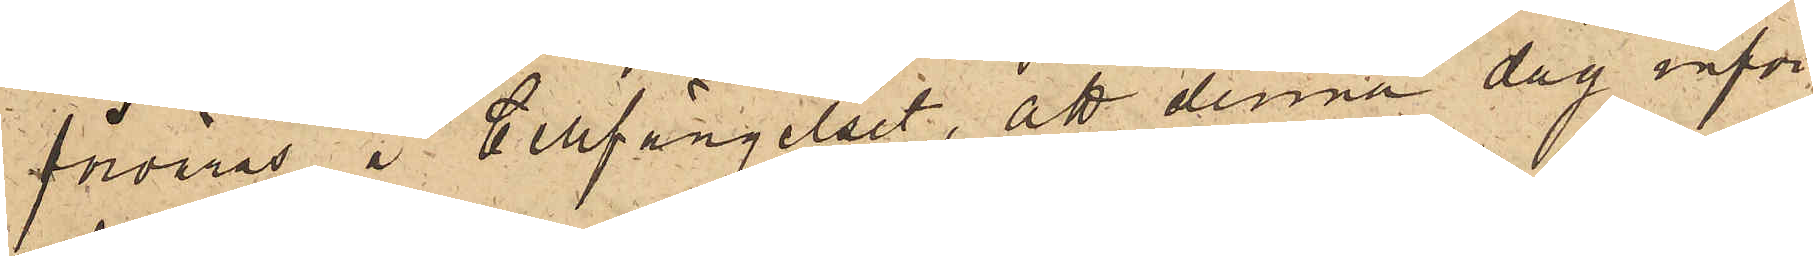förvaras å Cellfängelset, att denna dag inför
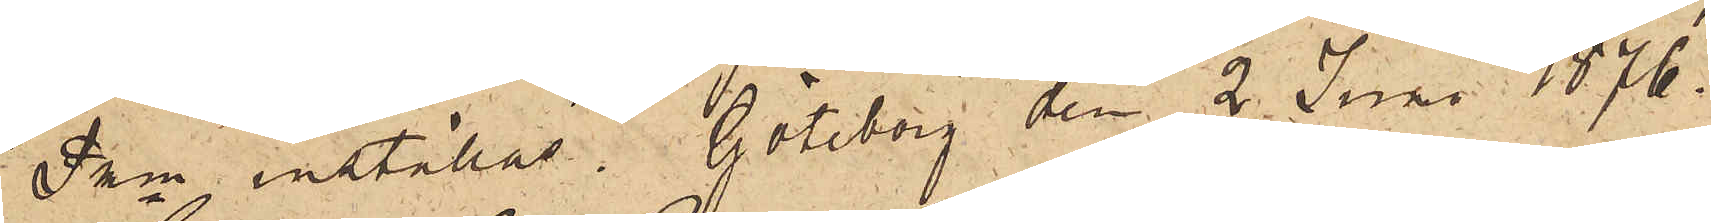Pkn inställas. Göteborg den 2 Juni 1876.
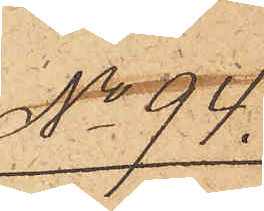No 94
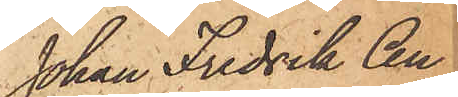Johan Fredrik An¬
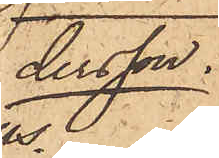dersson
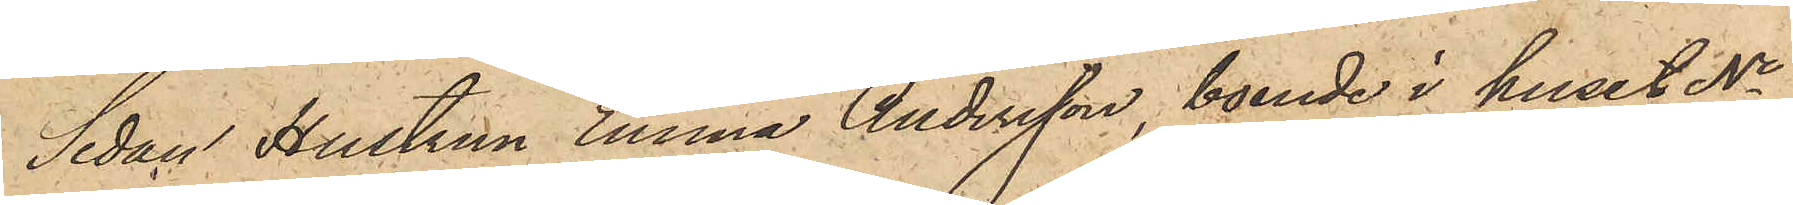Sedan Hustrun Emma Andersson, boende i huset No
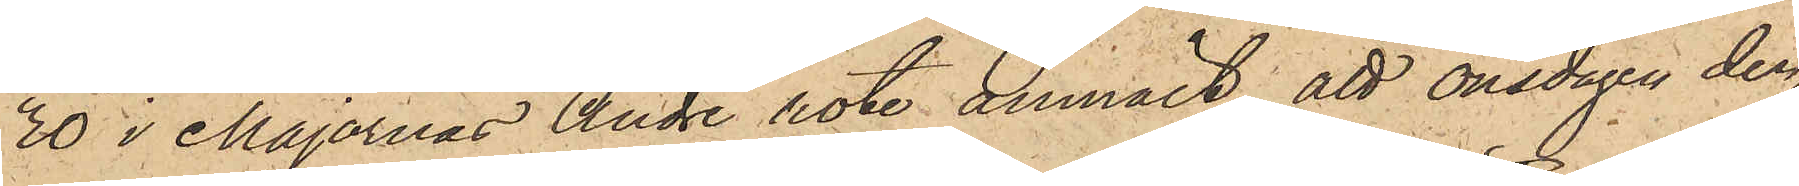20 i Majornas Andre rote anmält, att onsdagen den
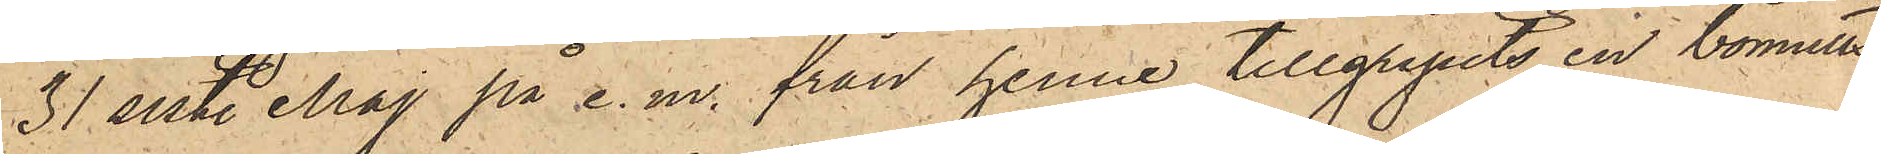31 sist. Maj på e. m. från henne tillgripits en bomulls¬
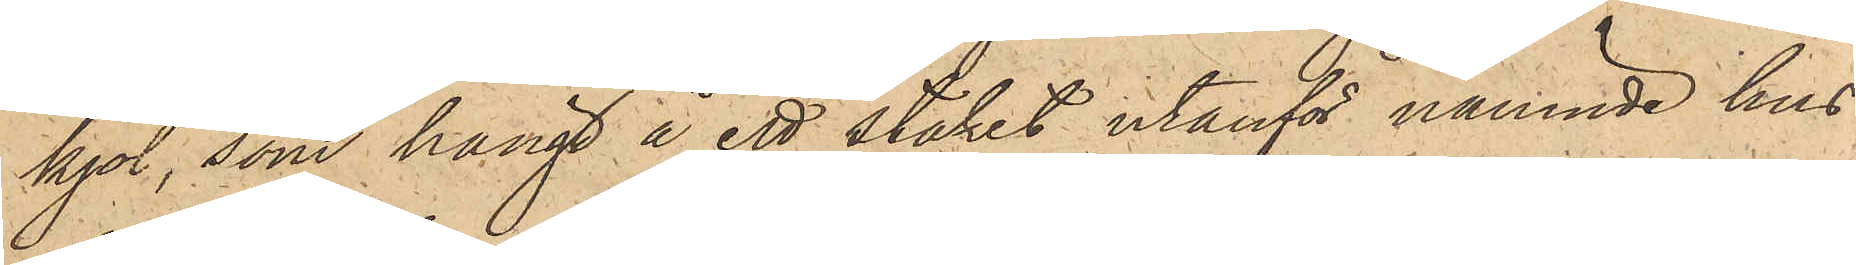kjol, som hängt å ett staket utanför nämnde hus
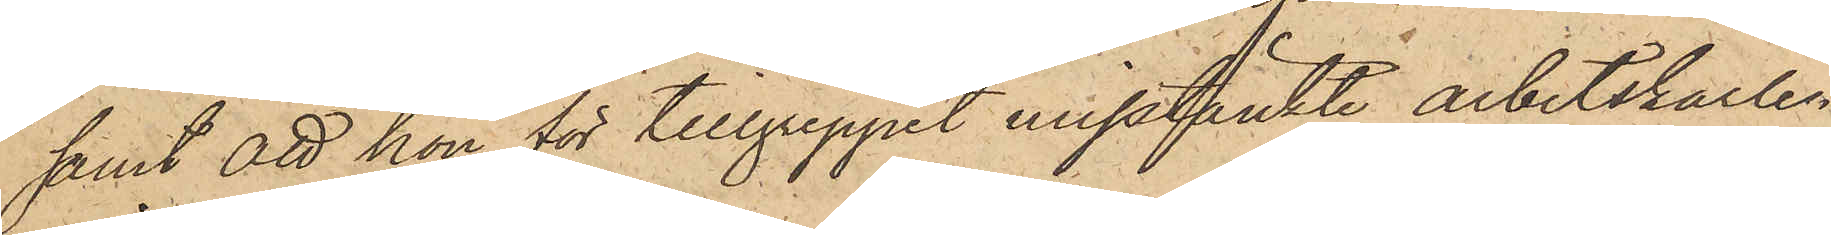samt att hon för tillgreppet misstänkte arbetskarlen
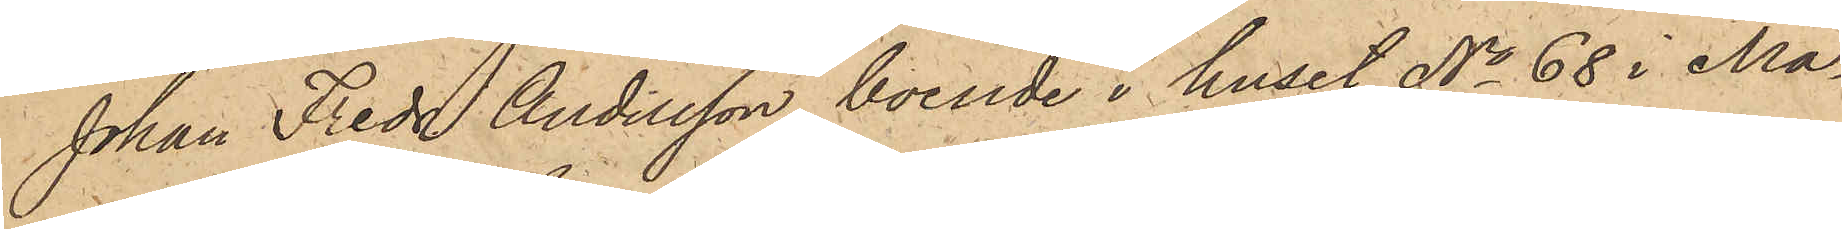Johan Fredr. Andersson, boende i huset No 68 i Ma¬
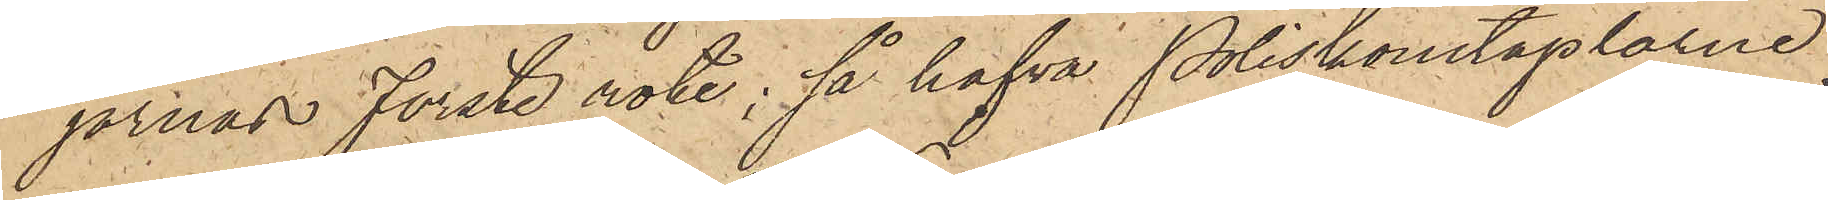jornas Förste rote; så hafva Poliskonstaplarne
